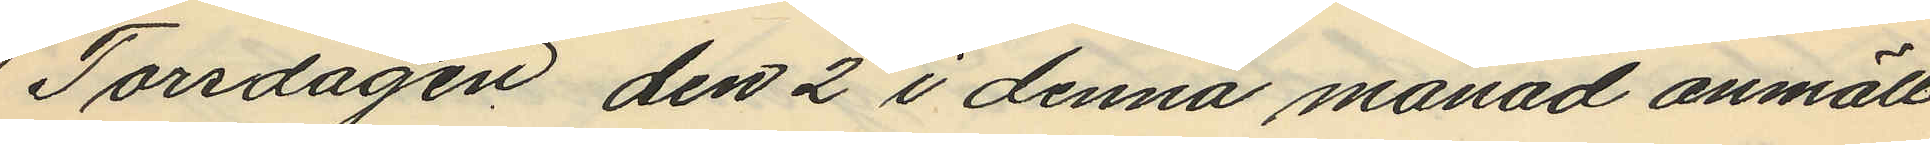Torsdagen den 2 i denna månad anmält,
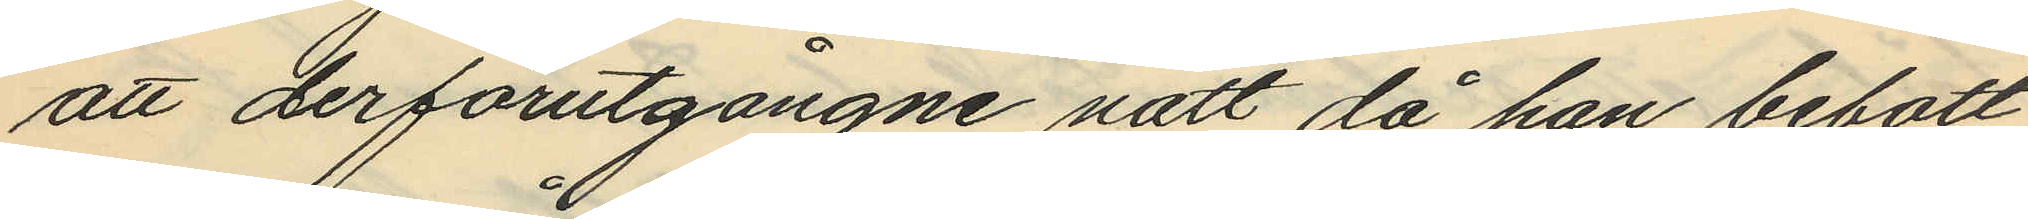att derförutgångne natt då han bebott
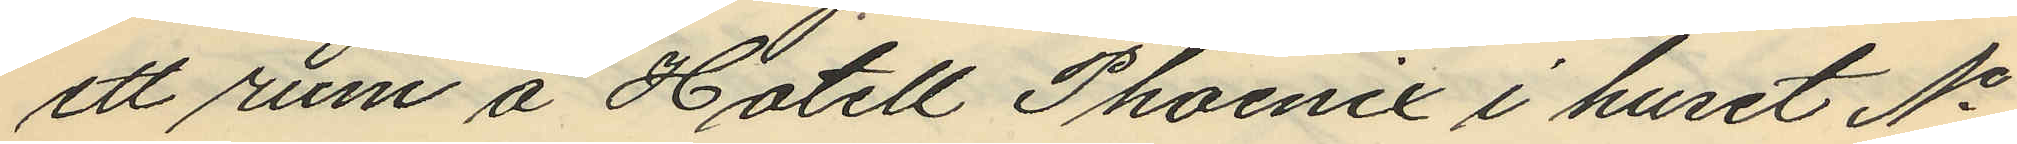ett rum å Hotell Phoenix i huset No
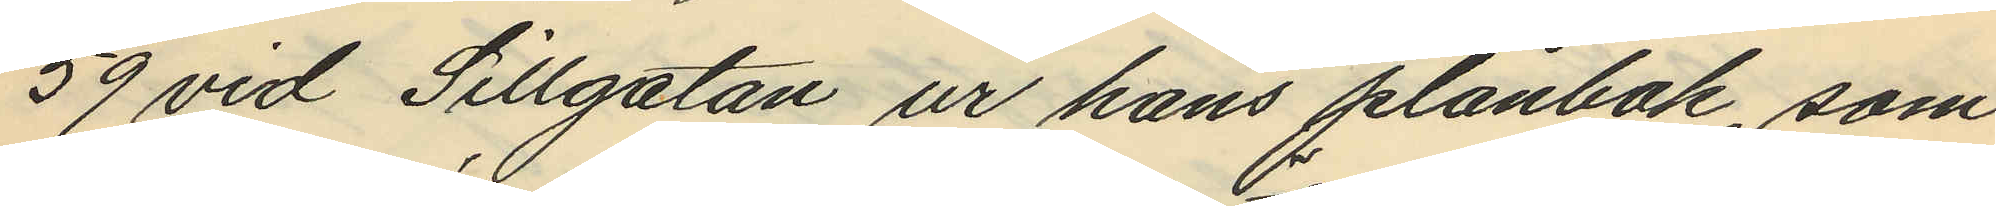59 vid Sillgatan ur hans plånbok, som
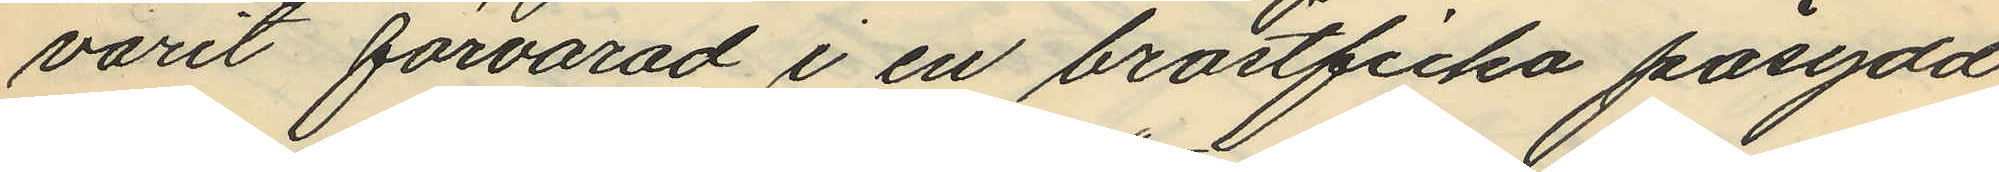varit förvarad i en bröstficka påsydd
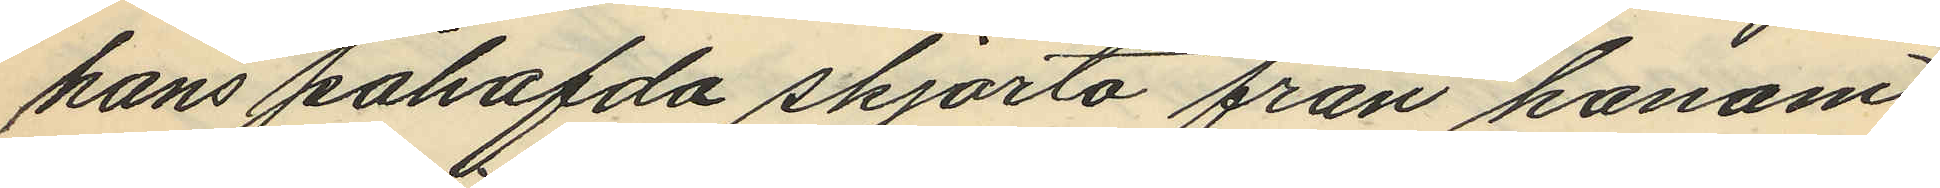hans påhafda skjorta från honom
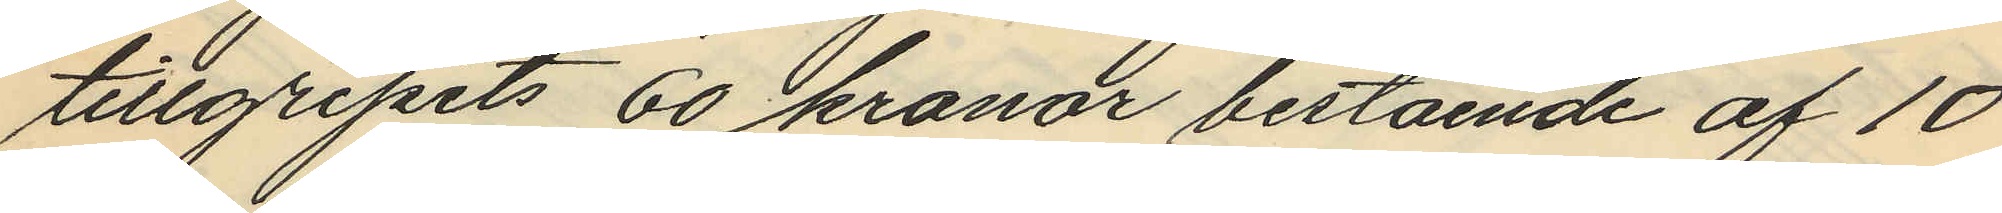tillgripits 60 kronor bestående af 10
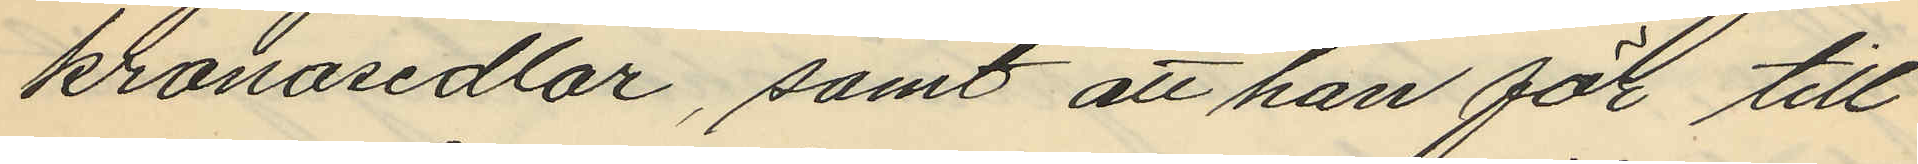kronosedlar, samt att han för till¬
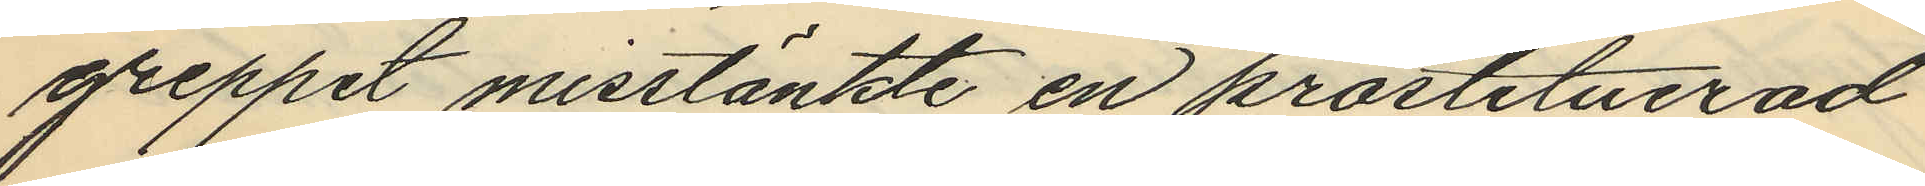greppet misstänkte en prostituerad
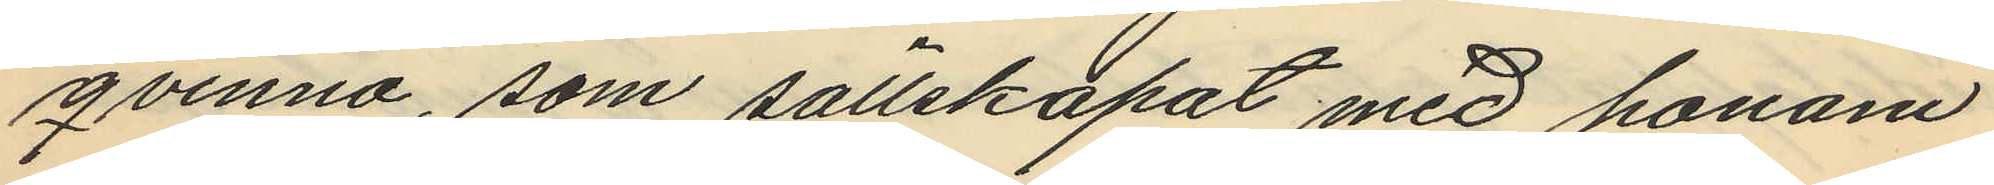qvinna, som sällskapat med honom
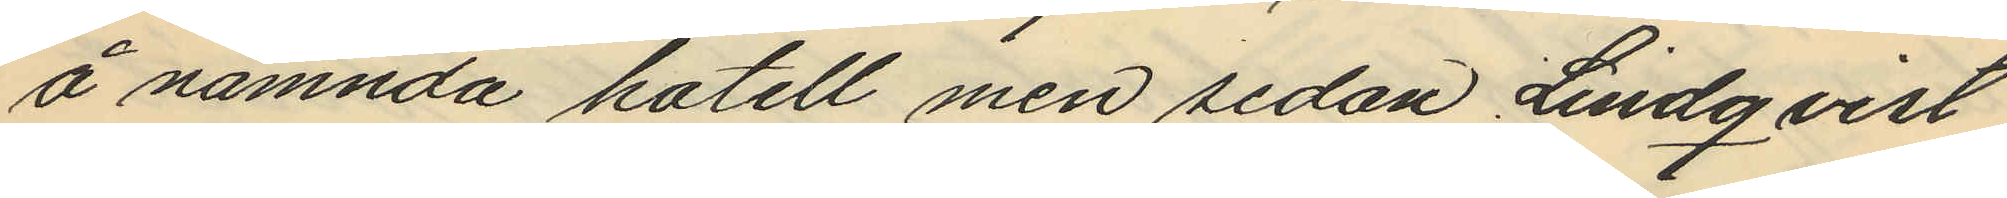å nämnda hotell men sedan Lindqvist
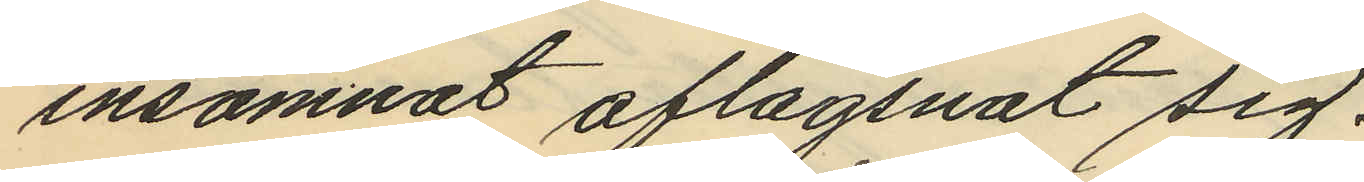insomnat aflägsnat sig.
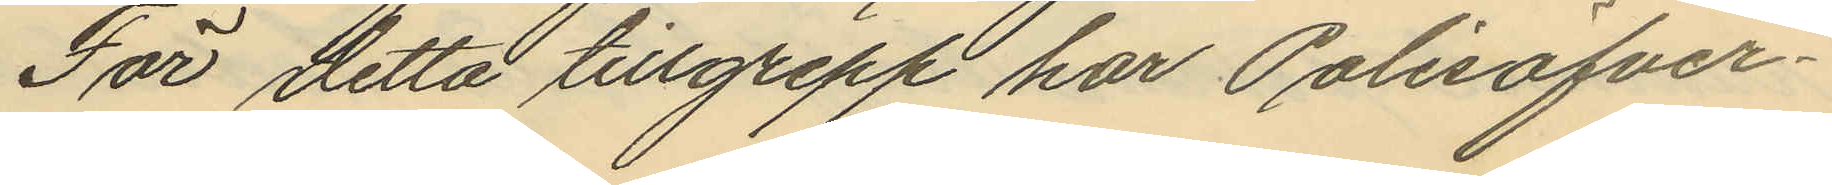För detta tillgrepp har Polisöfver¬
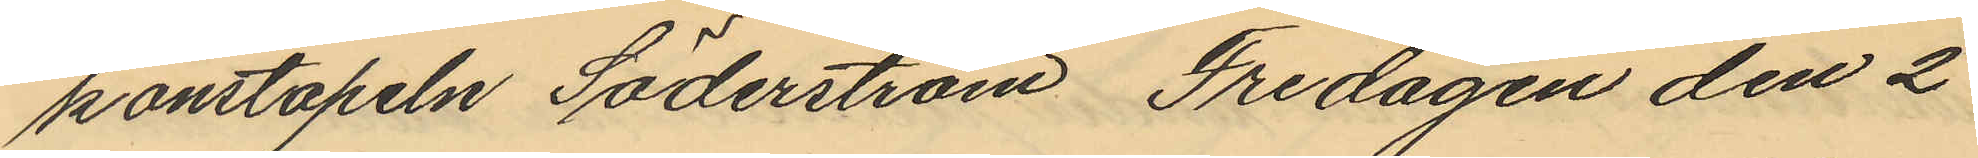konstapeln Söderström Fredagen den 2
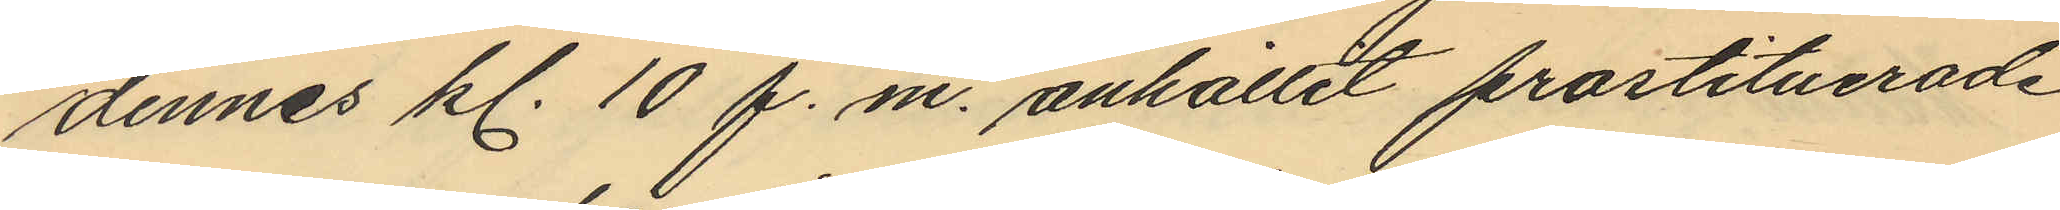dennes kl. 10 f.m. anhållit prostituerade
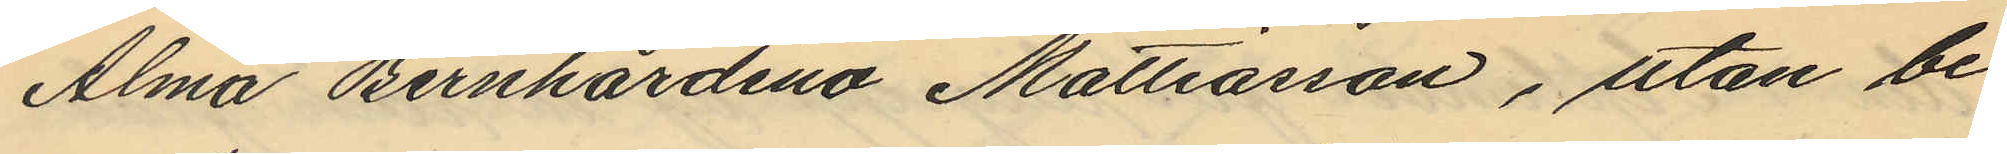Alma Bernhardina Mattiasson, utan be
